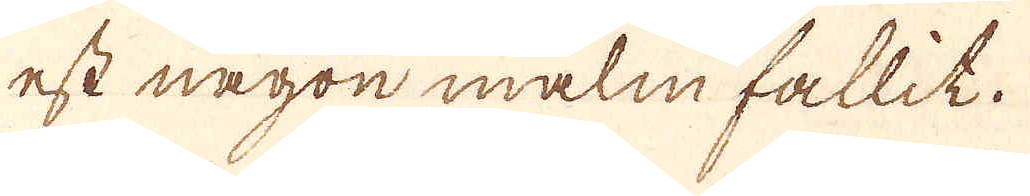est någon malm fallit.
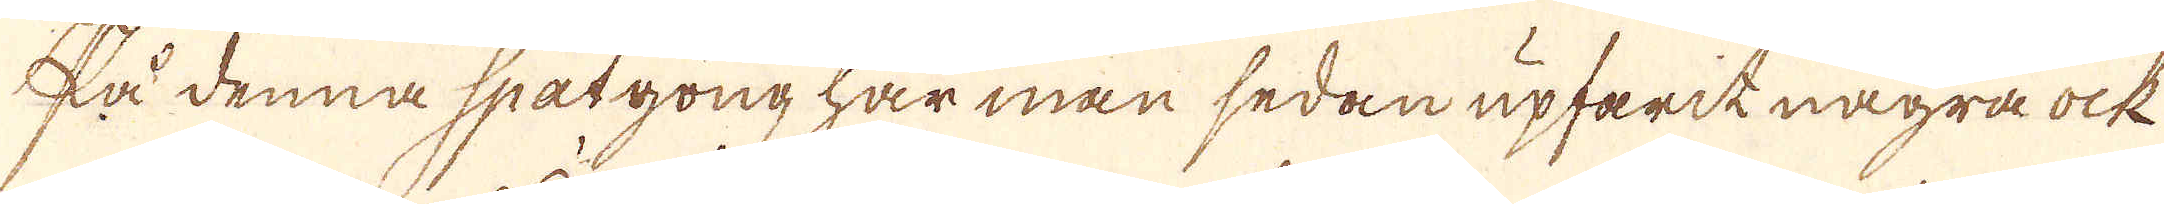På denna spatgong har man sedan upfarit några ock
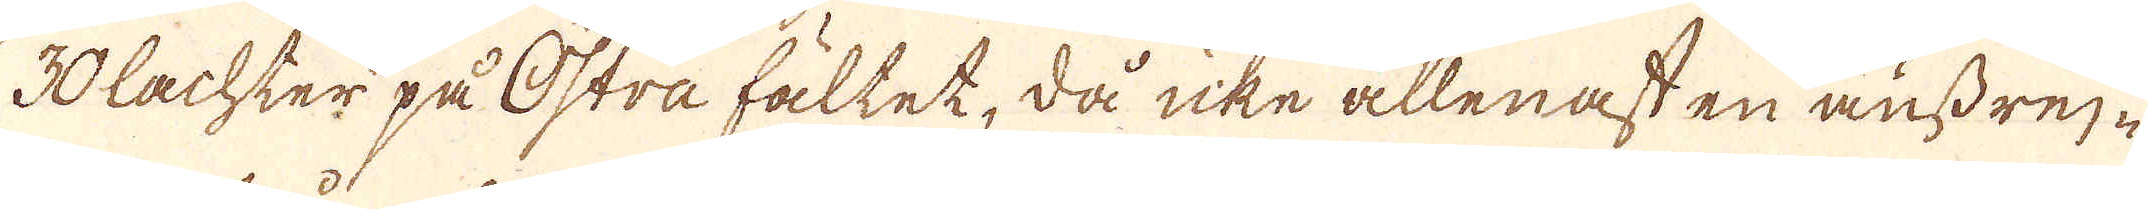30 lachter på Östra fältet, då icke allenast en ansdrej-
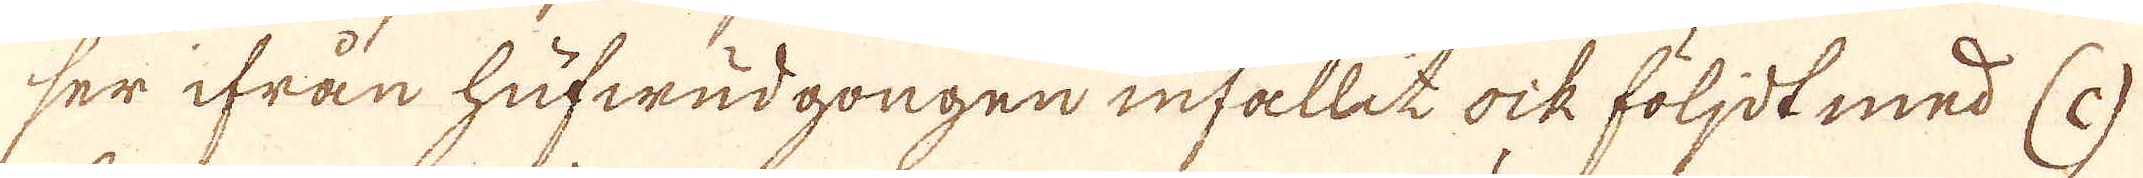ser ifrån hufwudgongen infallit ock följdt med (c)
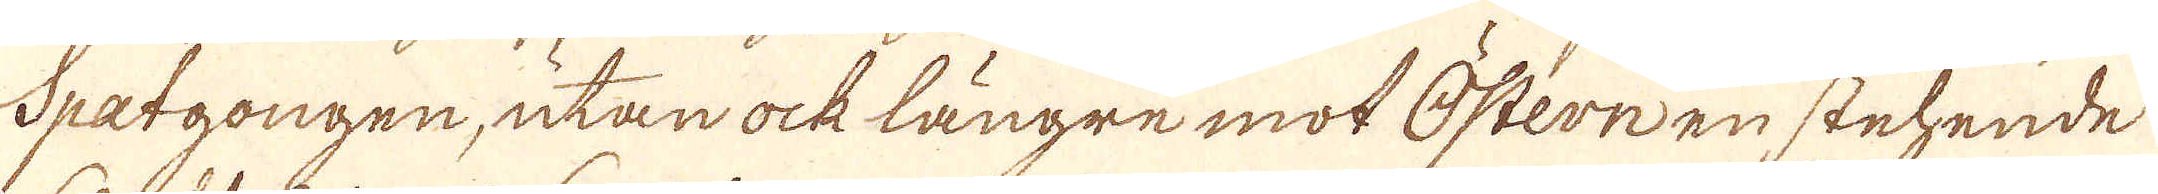Spatgongen, utan ock längre mot östern en stehende
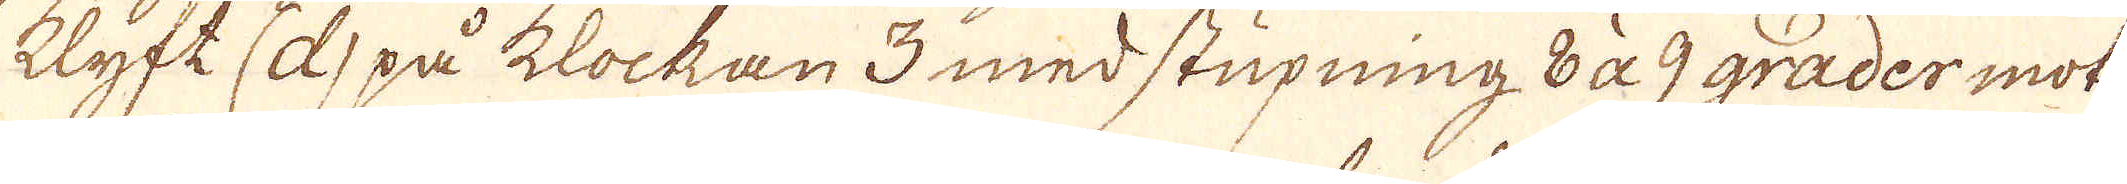klyft (d) på klockan 3 med stupning 8 à 9 grader mot
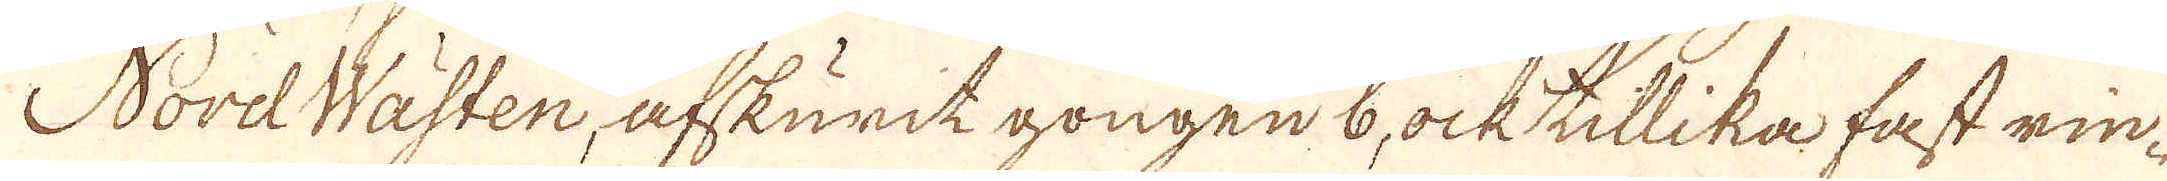NordWästen, afskurit gongen 6, ock tillika fast rin-
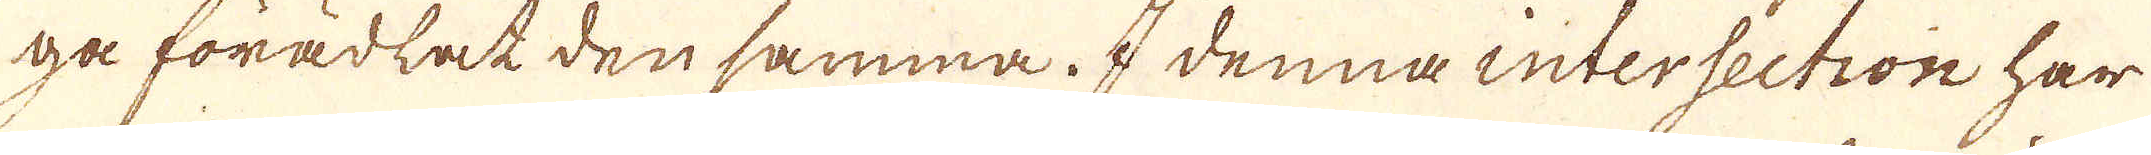ga förädlat den samma. I denna intersection har
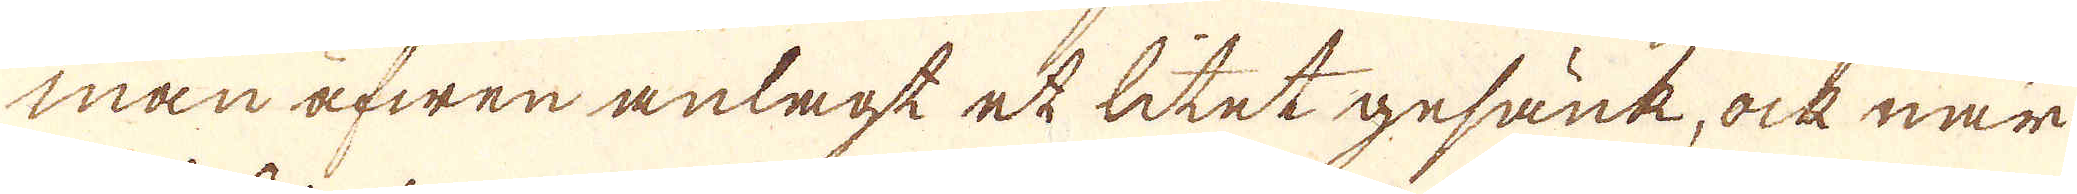man äfwen anlagt ett litet gesänk, ock när
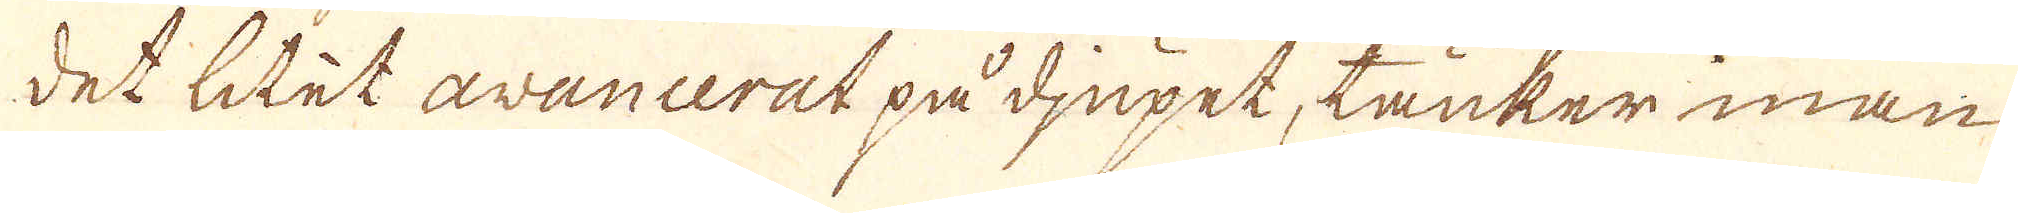det litet avancerat på djupet, tänker man
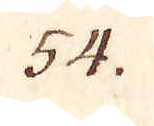54.
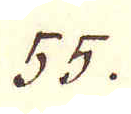55.
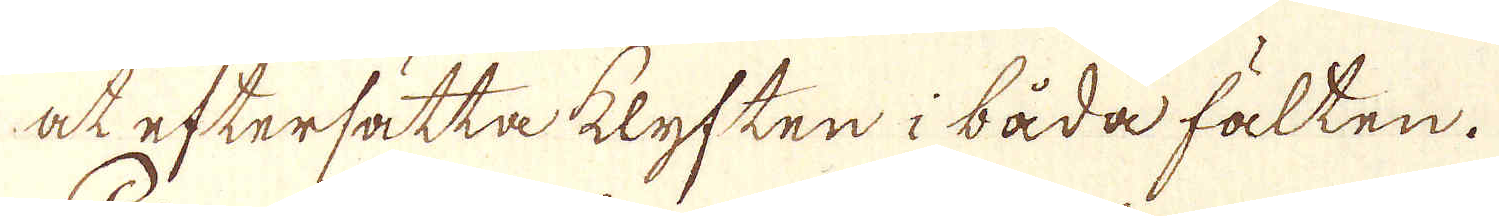at eftersätta klyften i båda fälten.
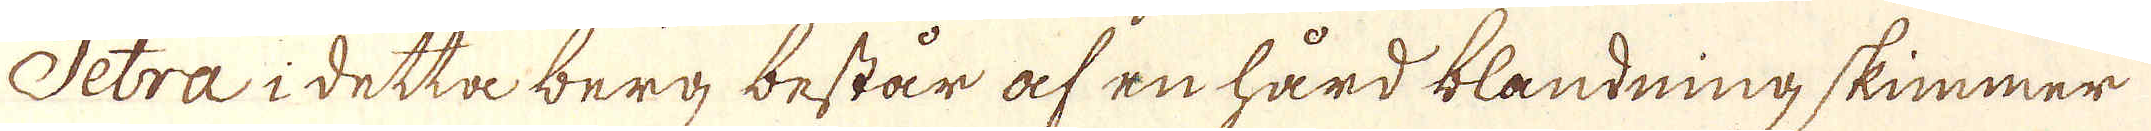Petra i detta berg består af en hård blandning skimmer
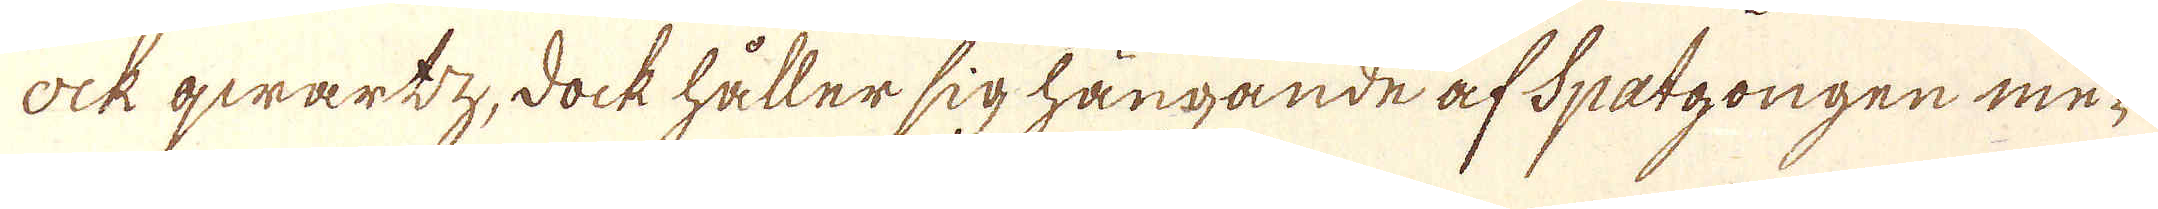Ock qwartz, dock håller sig hängande af Spatgongen me-
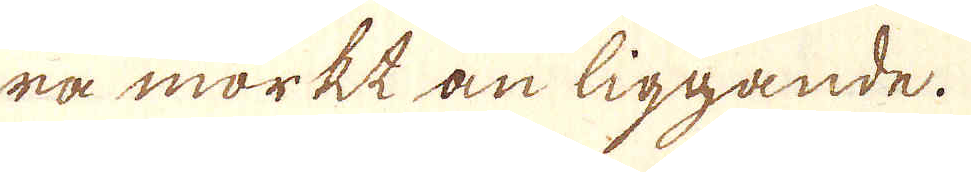ra mörkt än liggande.
